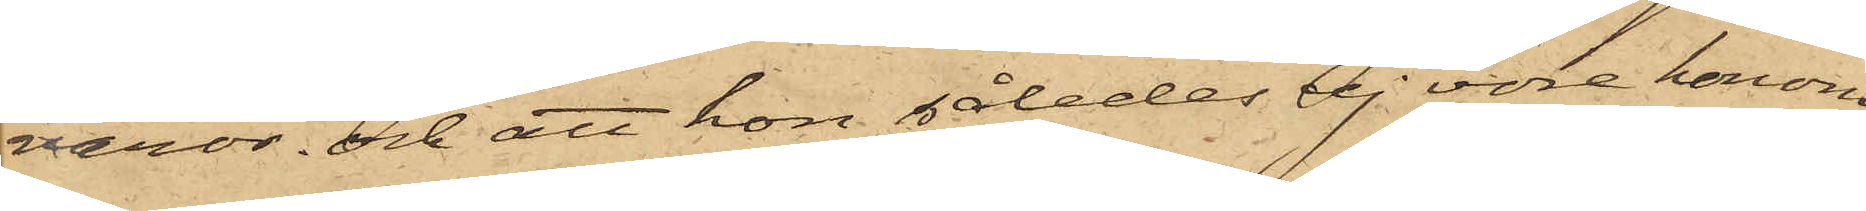varor, och att hon således ej vore honom
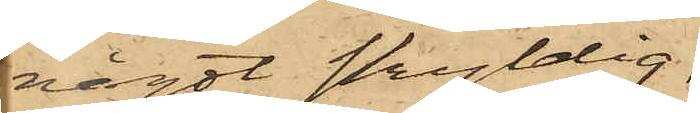något skyldig,
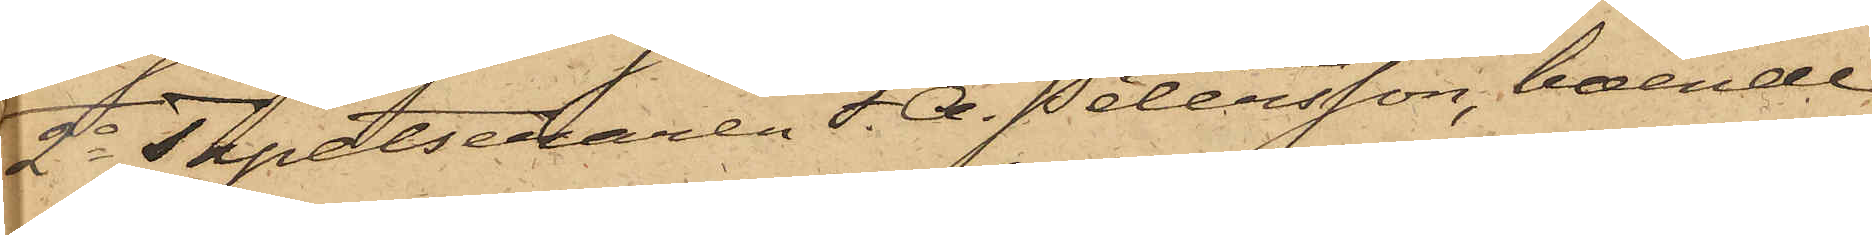2o Tapetseraren F. A. Petersson, boende
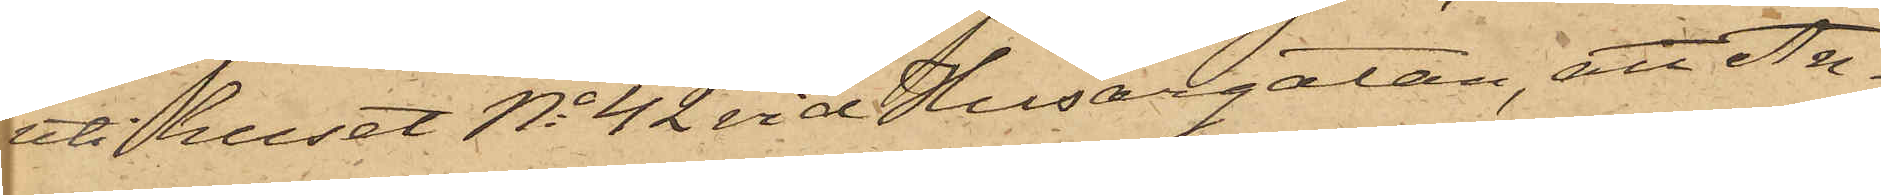uti huset No 42 vid Husargatan, att An¬
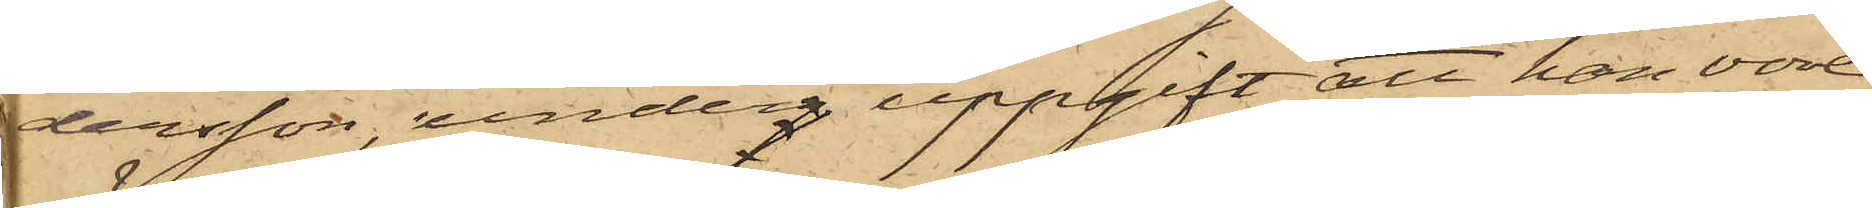dersson, underg uppgift att han vore
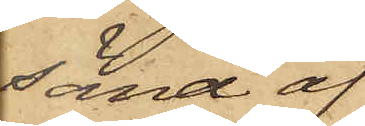sänd af
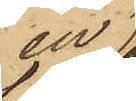en
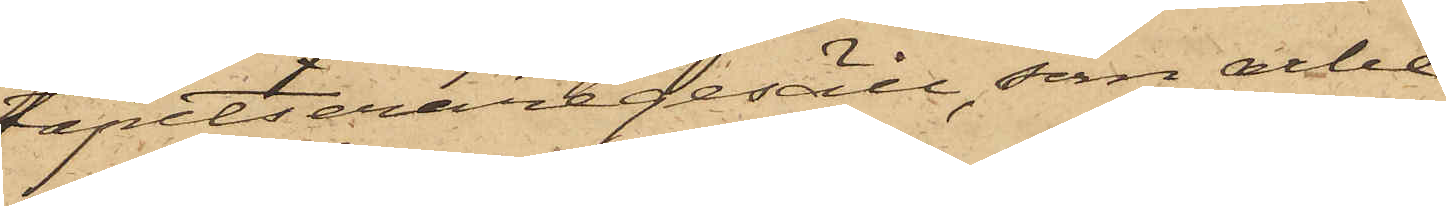tapetseraregesäll, som arbe¬
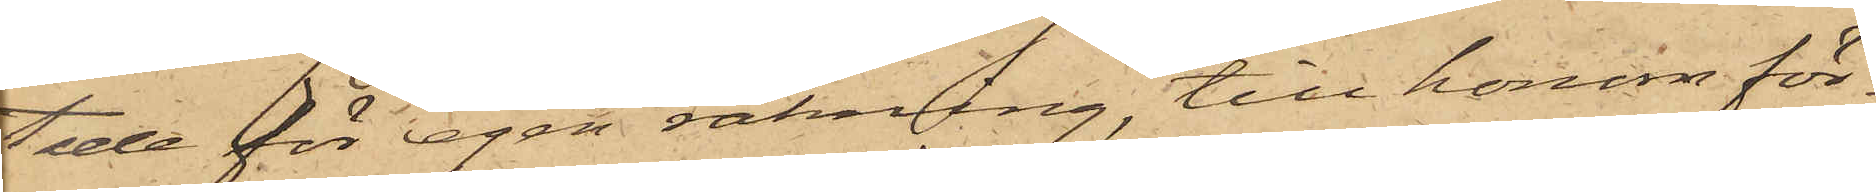tade för egen räkning, till honom för¬
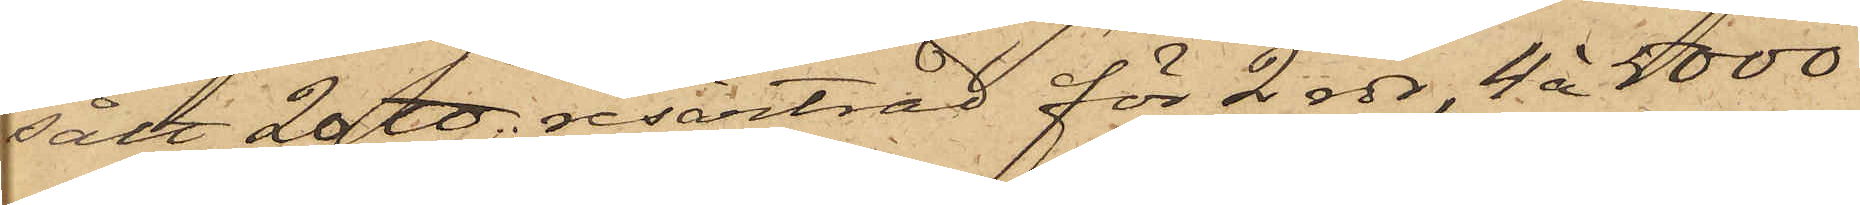sålt 20 ℔ resårtråd för 2 rdr, 4 à 5000
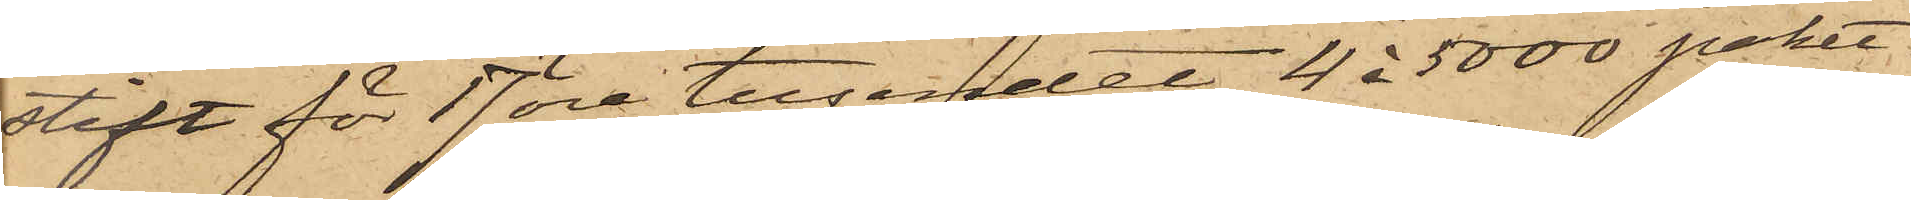stift för 17 öre tusendet, 4 à 5000 paket-
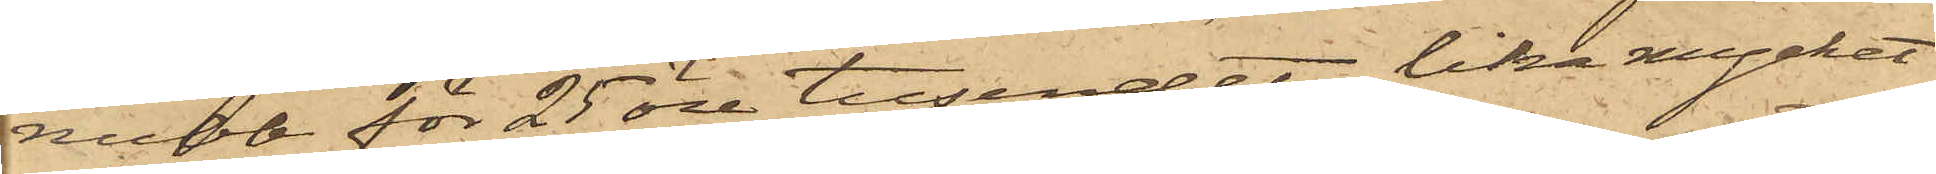nubb för 25 öre tusendet, lika mycket
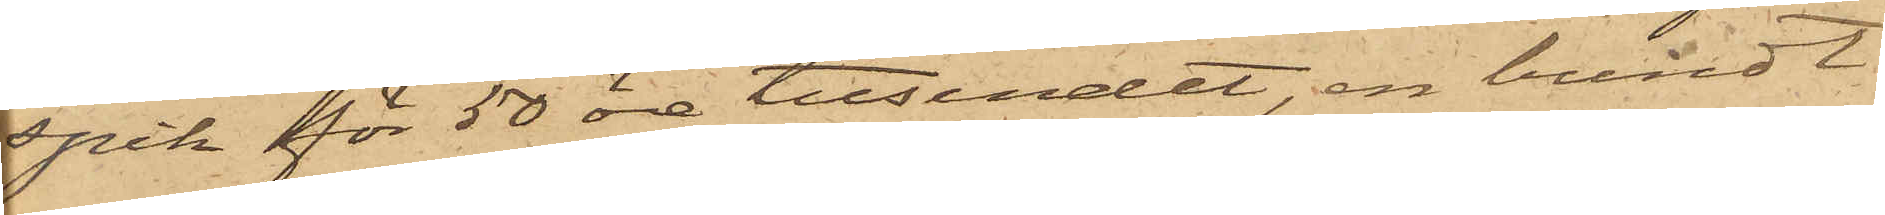spik för 50 öre tusendet, en bundt
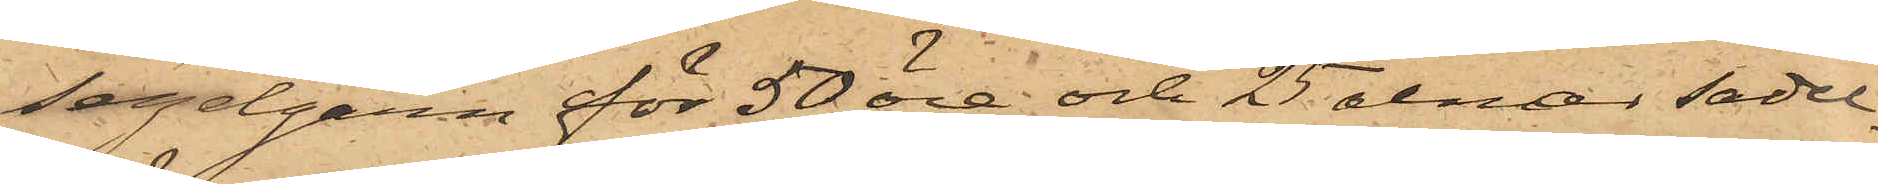segelgarn för 50 öre och 25 alnar sadel¬
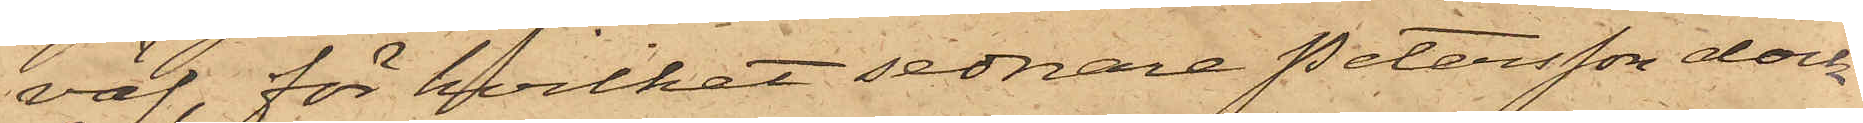väf, för hvilket sednare Petersson dock
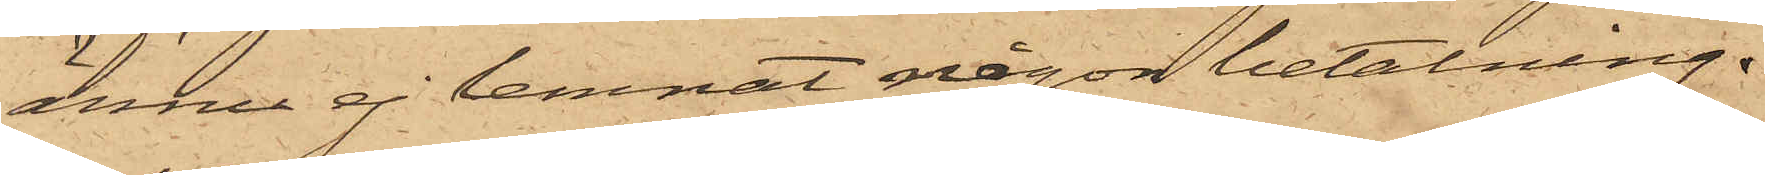ännu ej lemnat någon betalning.
